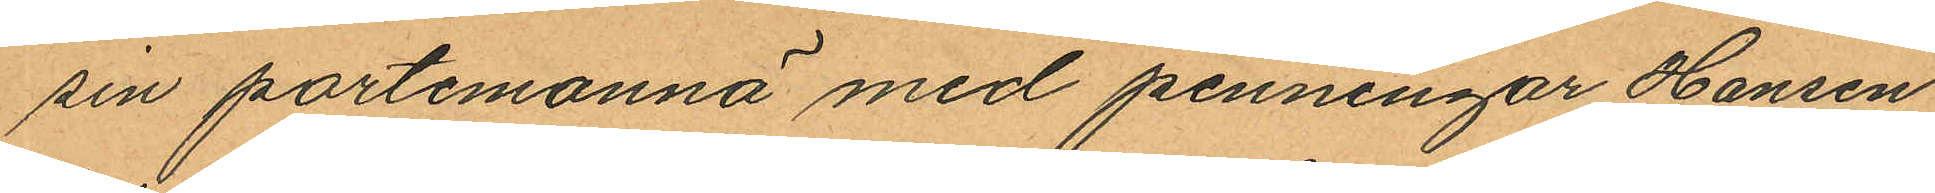sin portemonnä med penningar, Hansen
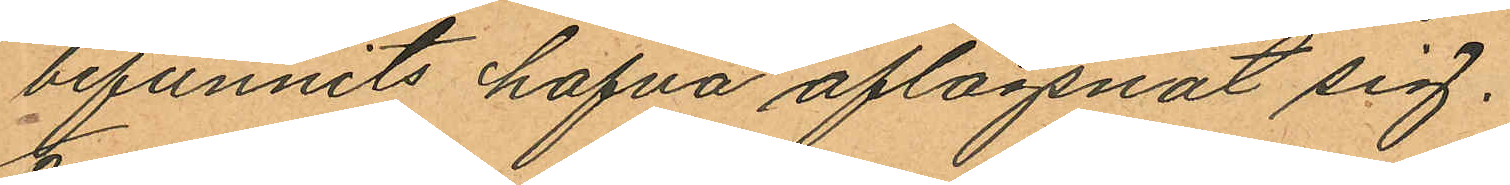befunnits hafva aflägsnat sig.
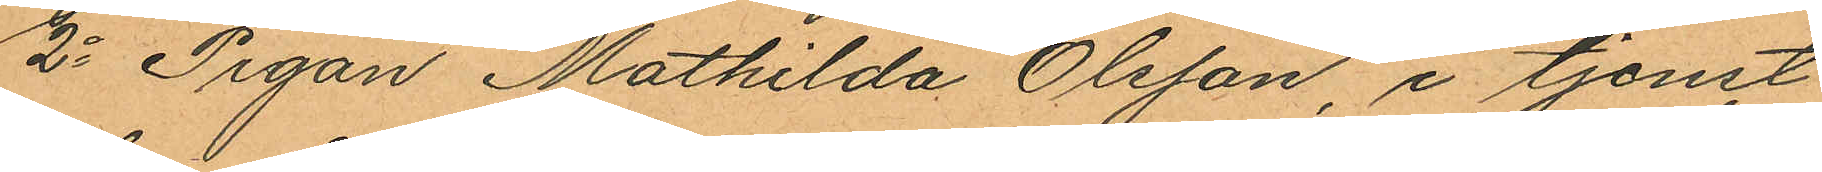2o Pigan Mathilda Olsson, i tjenst
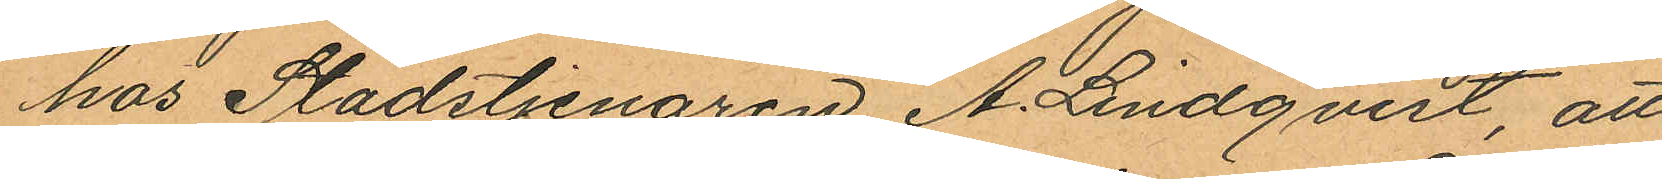hos Stadstjenaren A. Lindqvist, att
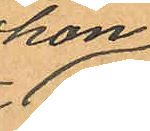hon
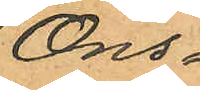Ons¬
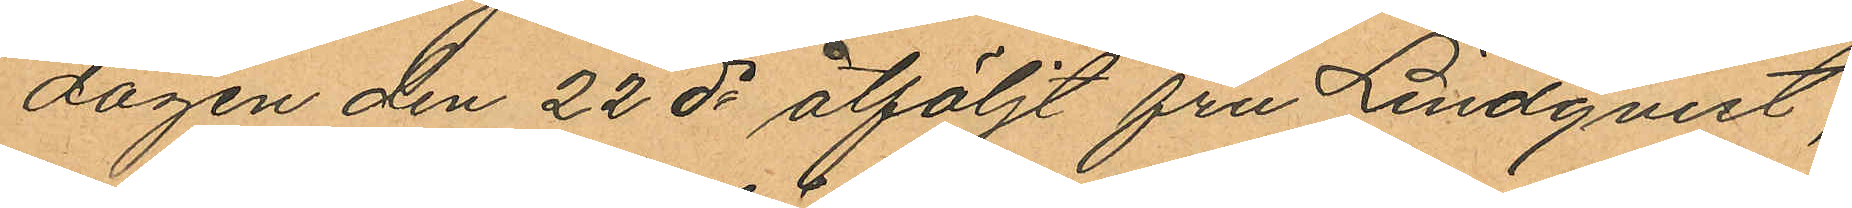dagen den 22 ds åtföljt fru Lindqvist,
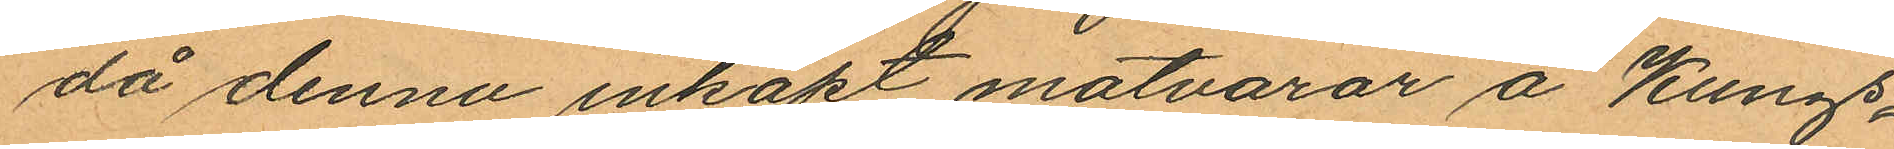då denna inköpt matvaror å Kungs¬
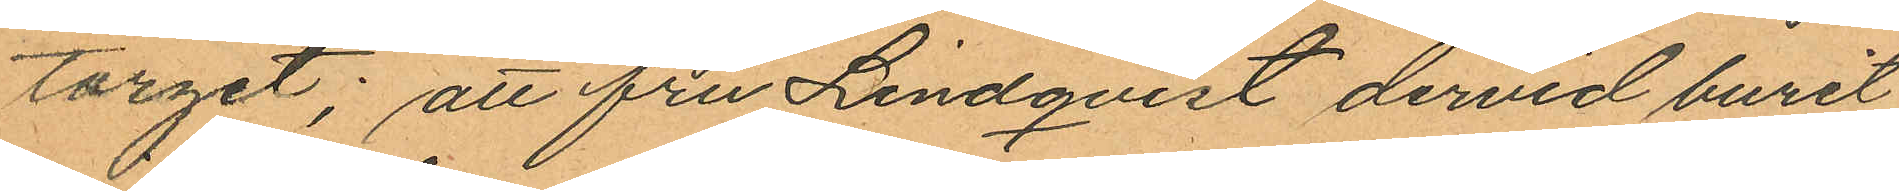torget; att fru Lindqvist dervid burit
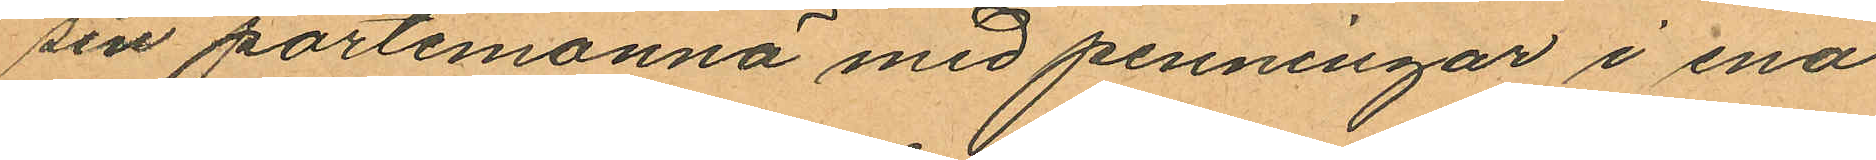sin portemonnä med penningar i ena
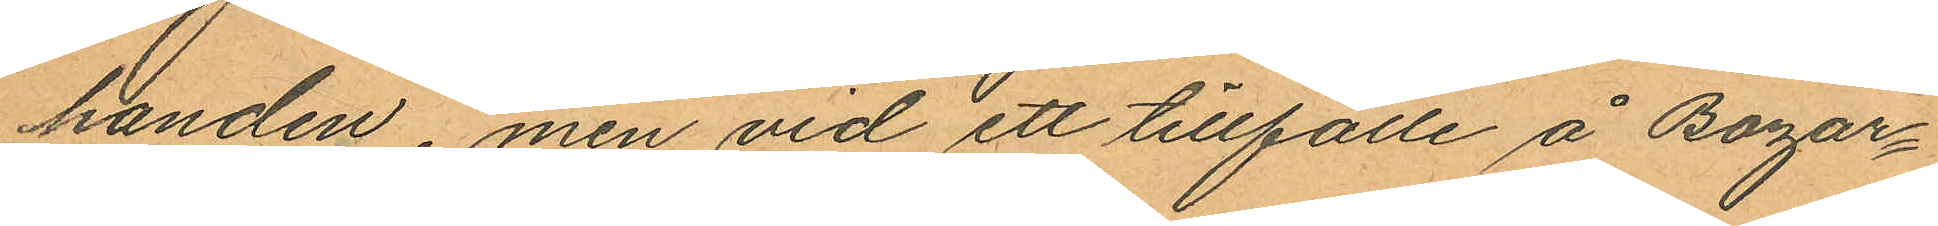handen, men vid ett tillfälle å Bazar¬
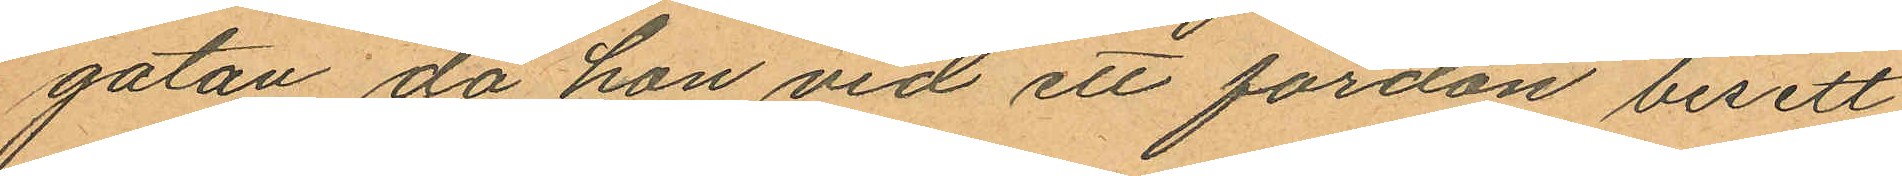gatan, då hon vid ett fordon besett
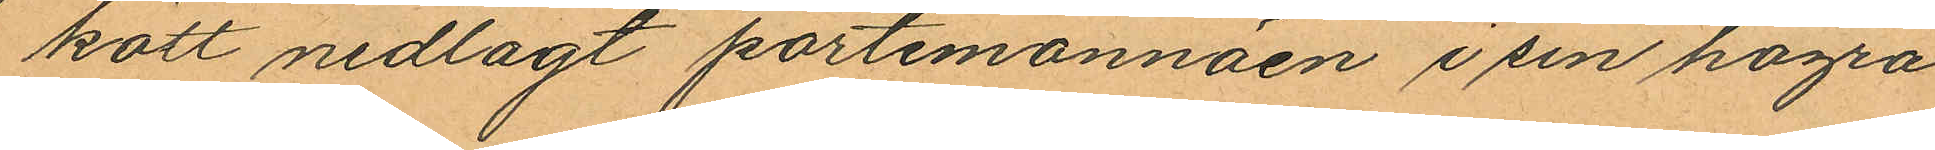kött nedlagt portemonnäen i sin högra
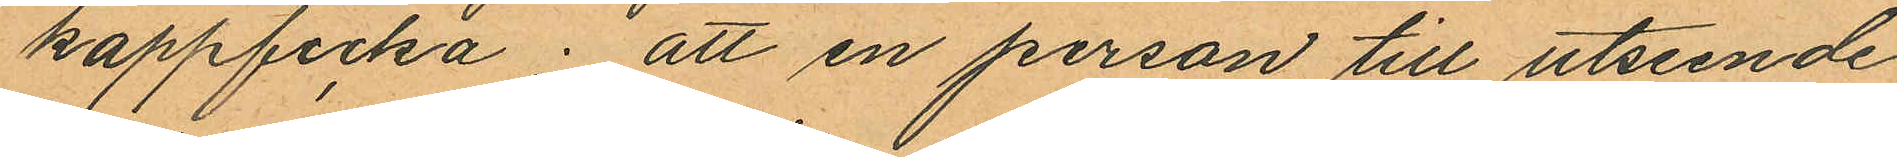kappficka; att en person till utseende
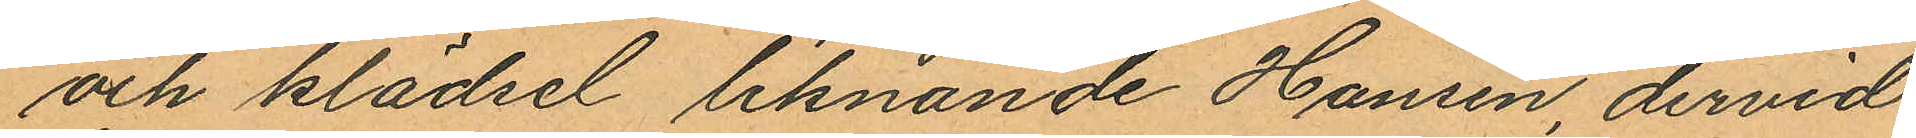och klädsel liknande Hansen, dervid
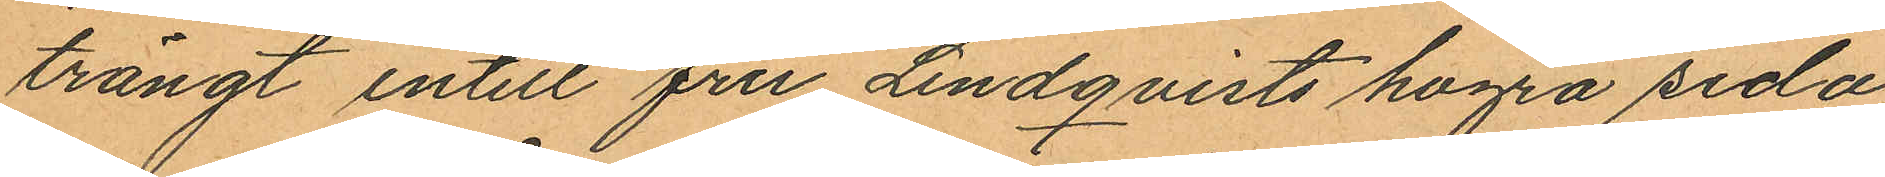trängt intill fru Lindqvists högra sida,
